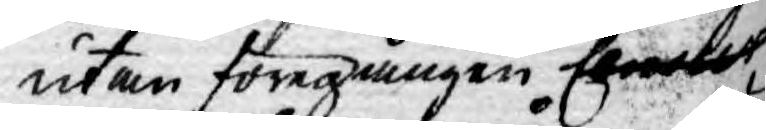utan föregången Censur
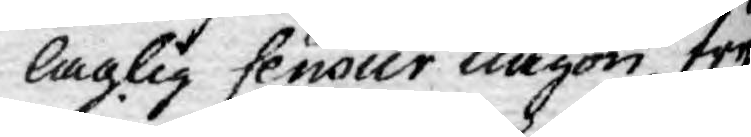laglig Censur någon tryck¬
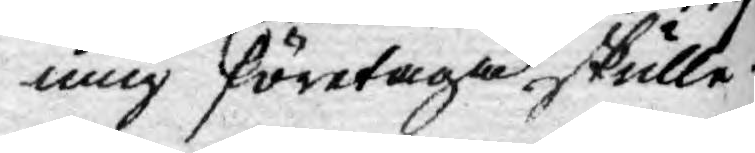ning företaga skulle.
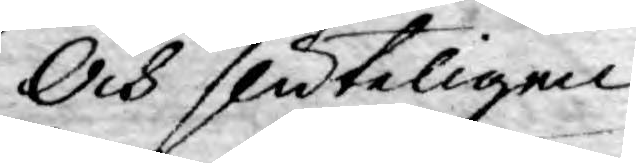Och sluteligen
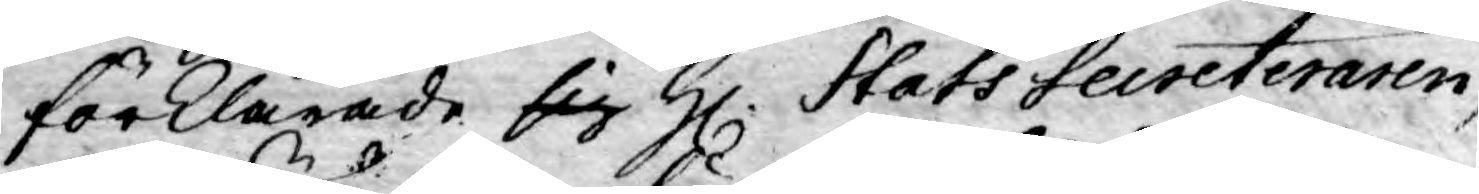förklarade sig H. Stats Secreteraren,
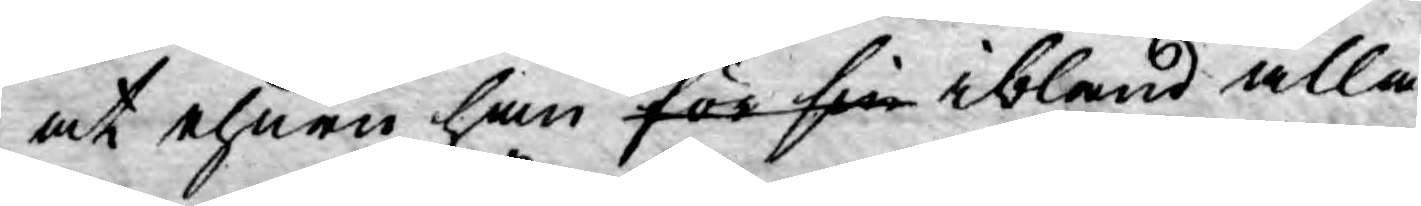at ehuru han för sin ibland alla
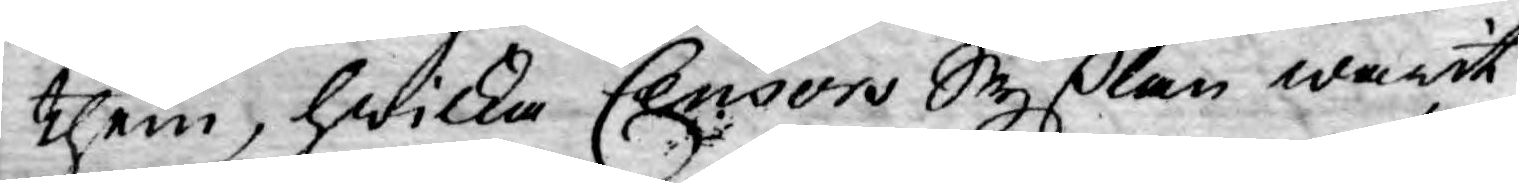them, hwilka Censors Syßlan warit
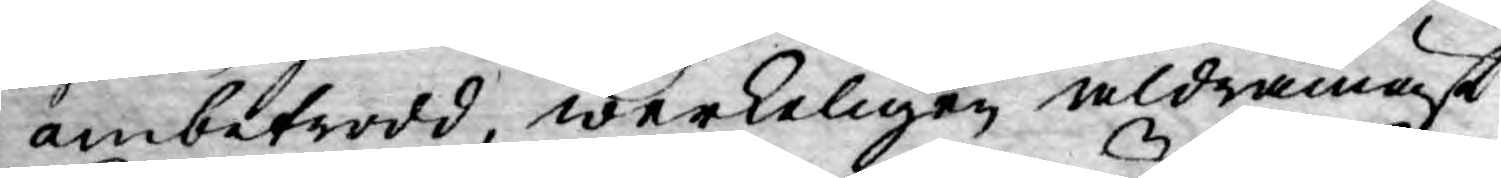anbetrodd, werkeligen aldramäst
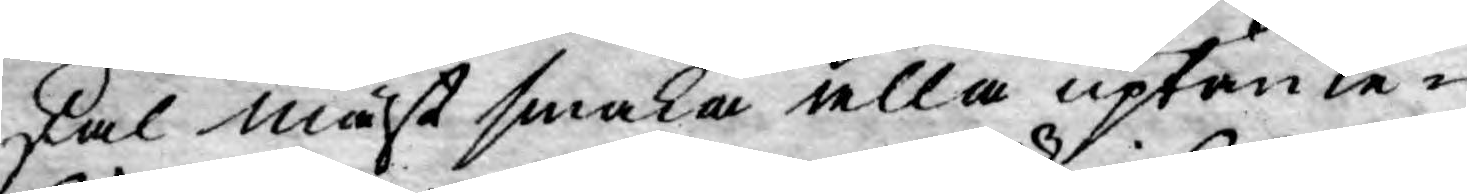skal måst smaka alla uptänke¬
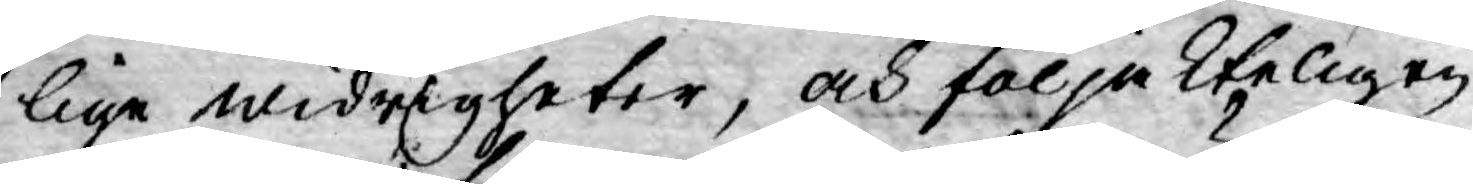lige widrigheter, och följakteligen
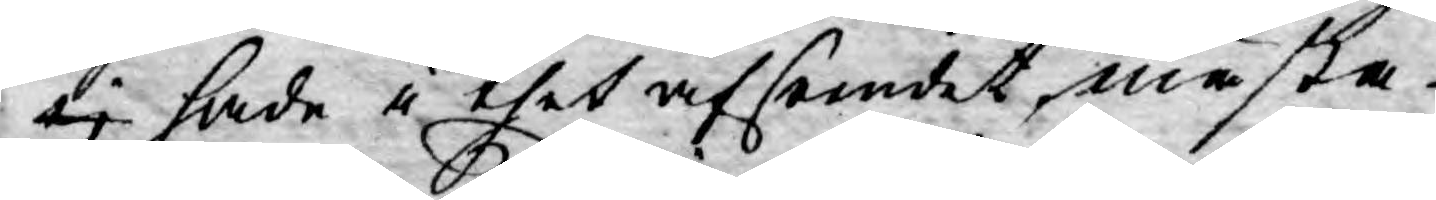ej hade i thet afseendet, mästa
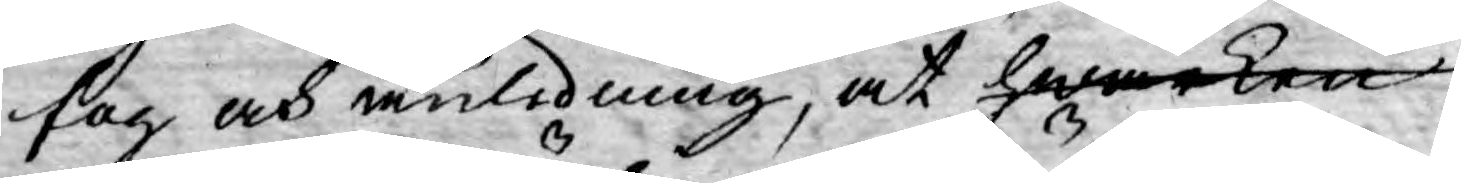fog och anledning, at hwarken
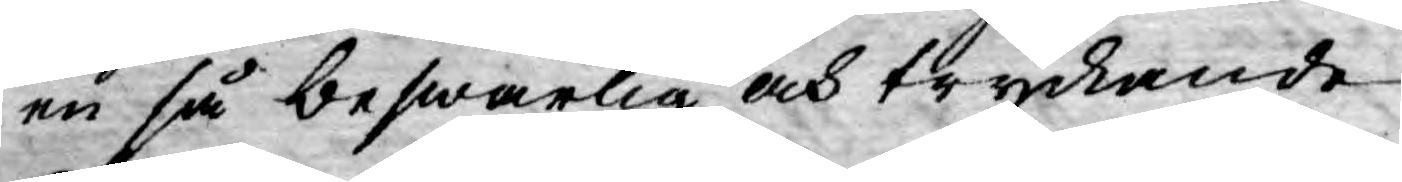en så beswärlig och tryckande
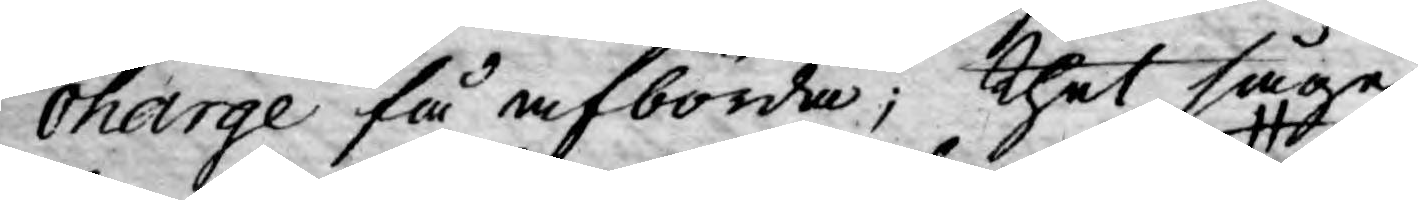charge få afbörda; thet såge
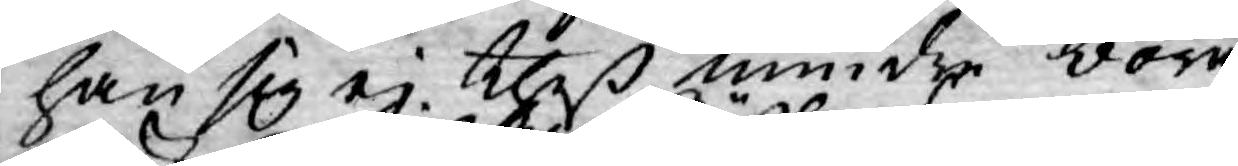han sig ej theß mindre böra
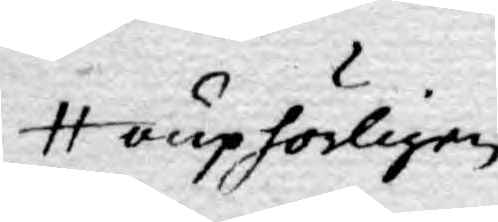ouphörligen
